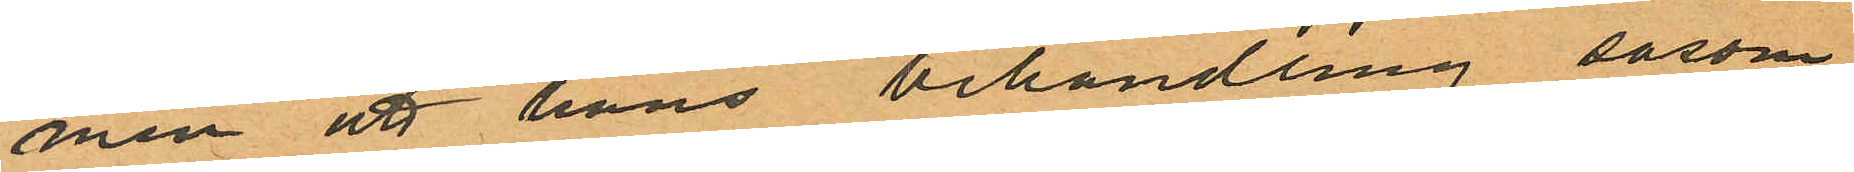men att hans behandling såsom
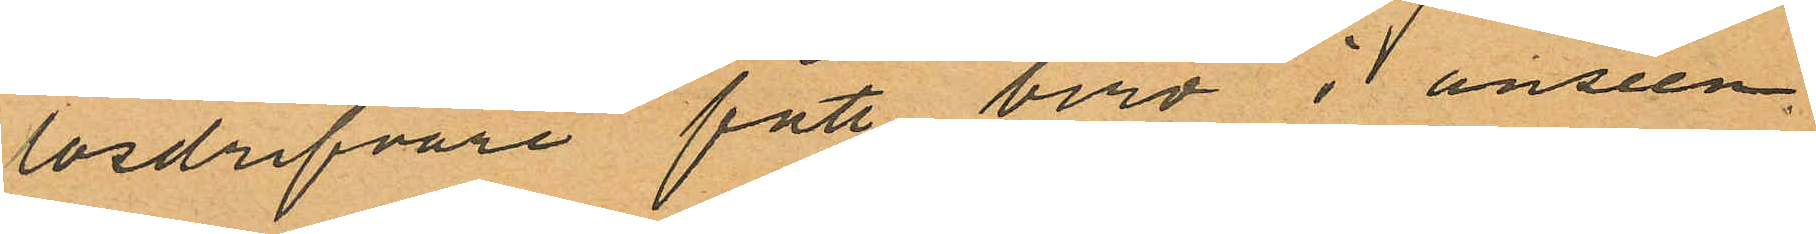lösdrifvare fått bero i anseen¬
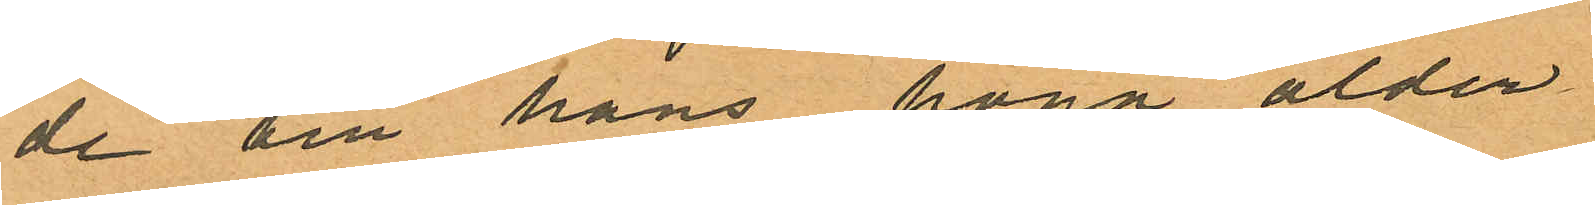de till hans höga ålder
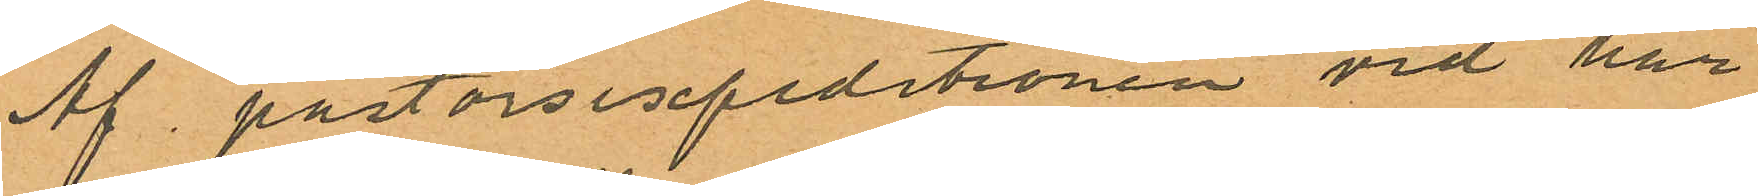Af pastorsexpeditionen vid här
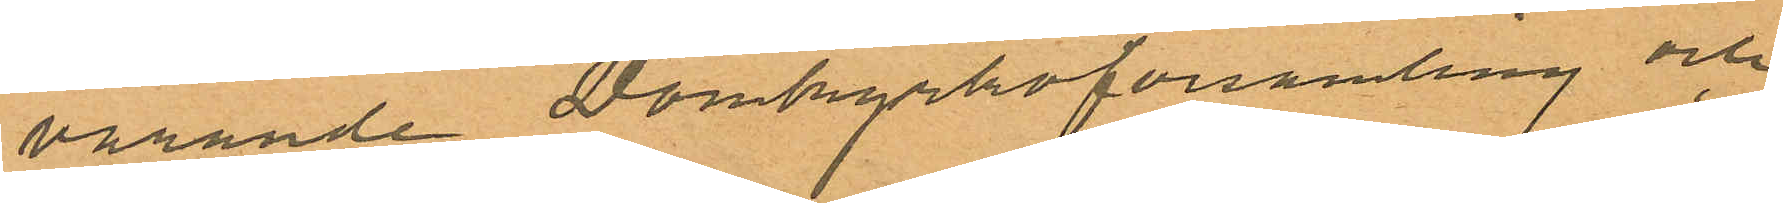varande Domkyrkoförsamling och
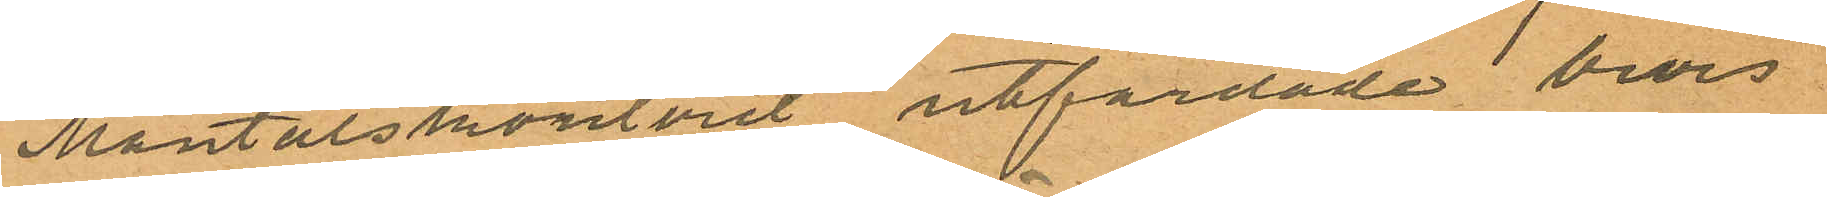Mantalskontoret utfärdade bevis
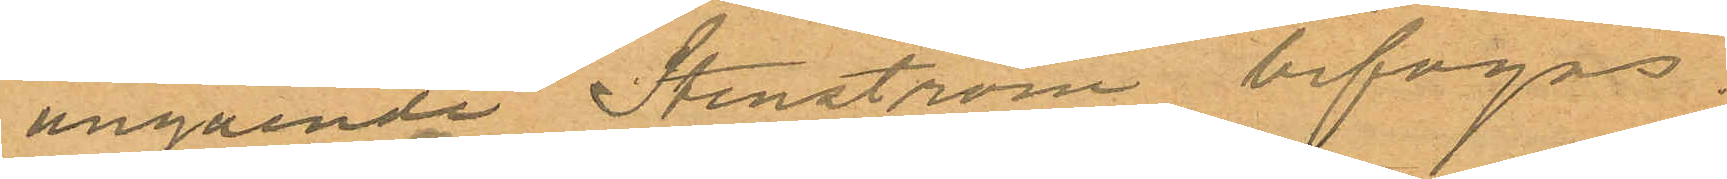angående Stenström bifogas.
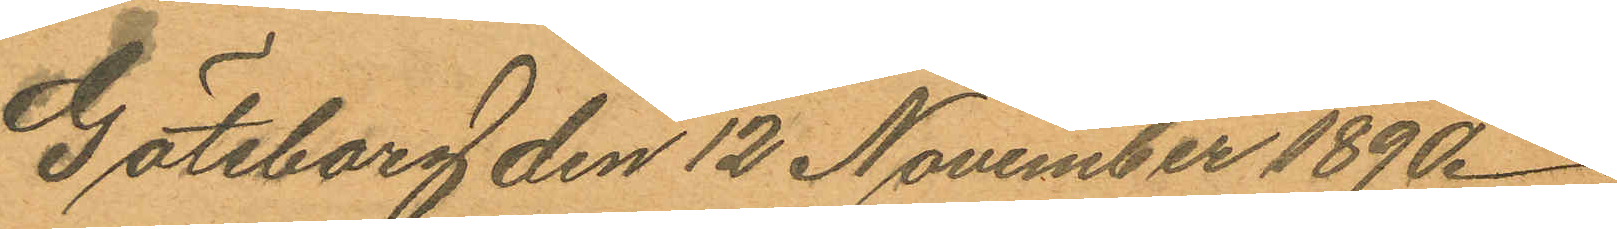Göteborg den 12 November 1890.
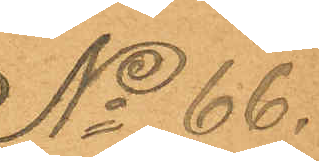No 66.
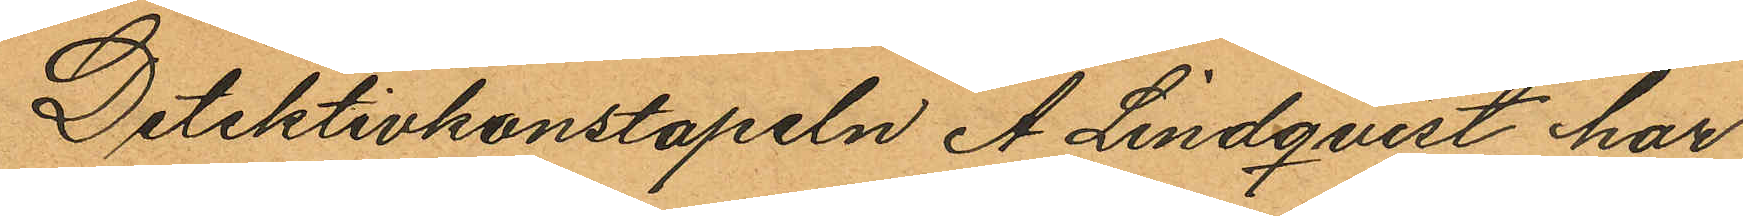Detektivkonstapeln A. Lindqvist har
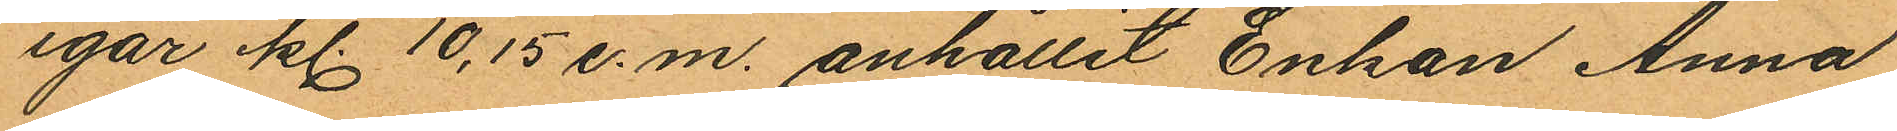igår kl. 10,15 e.m. anhållit Enkan Anna
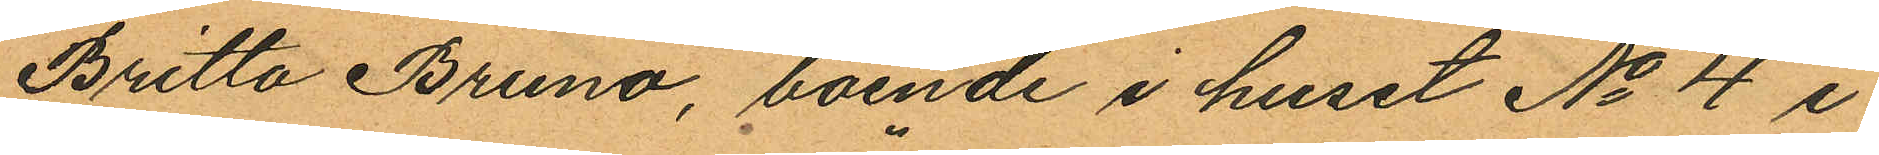Britta Bruno, boende i huset No 4 i
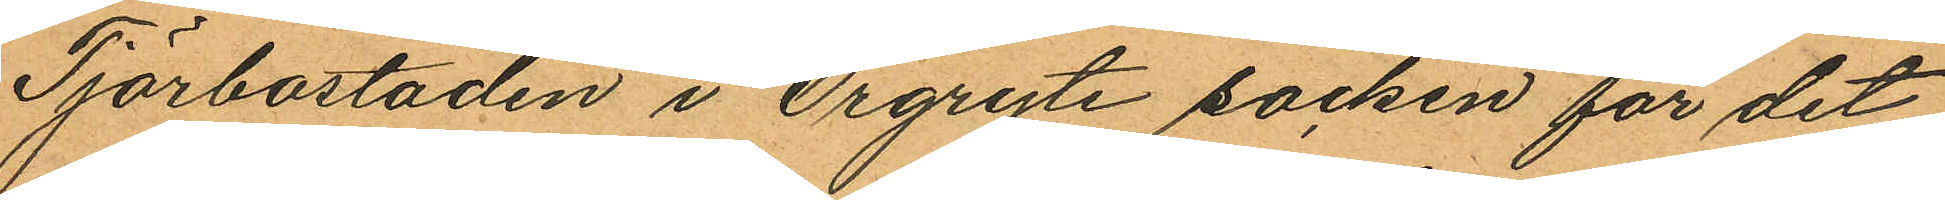Tjörbostaden i Örgryte socken för det
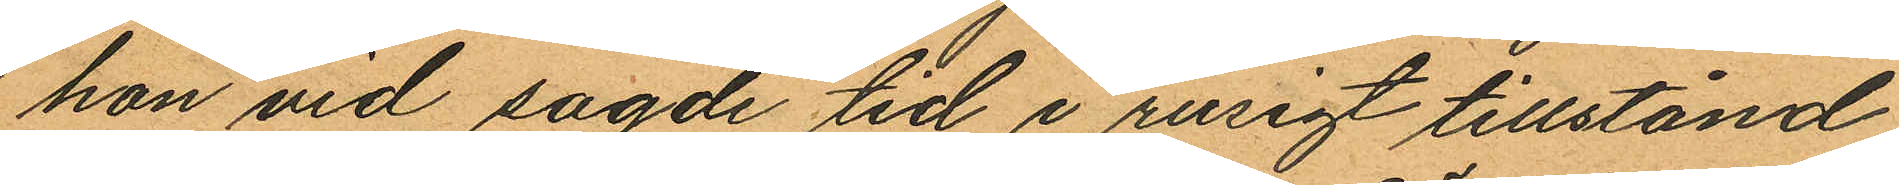han vid sagde tid i rusigt tillstånd
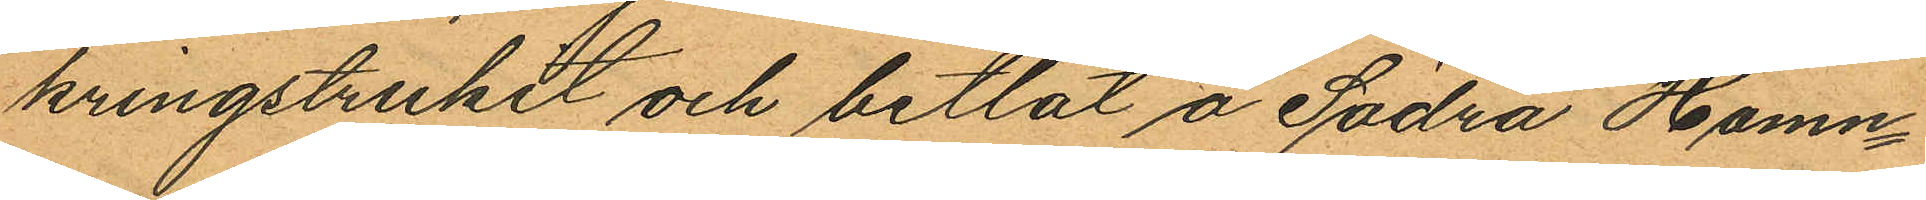kringstrukit och betlat å Södra Hamn¬
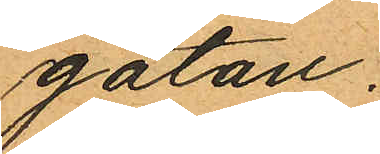gatan.
